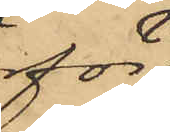för
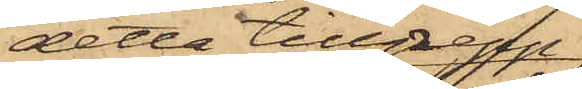detta tillgrepp
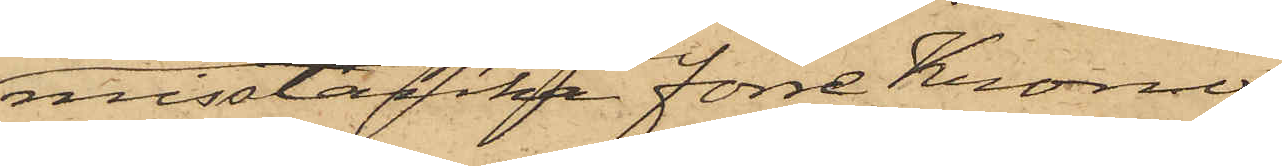misstänka förre Krono¬
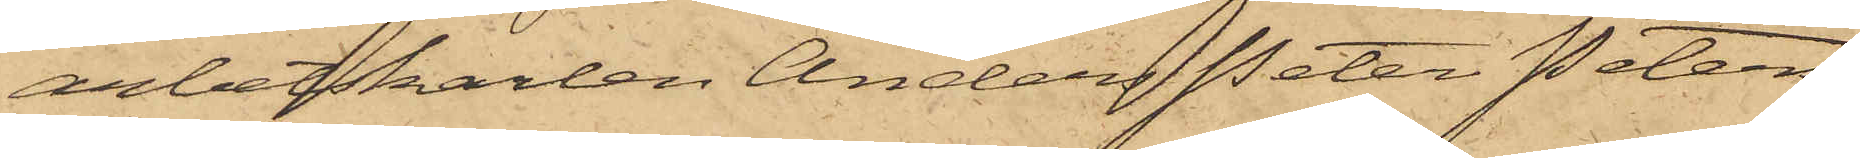arbetskarlen Anders Peter Peters¬
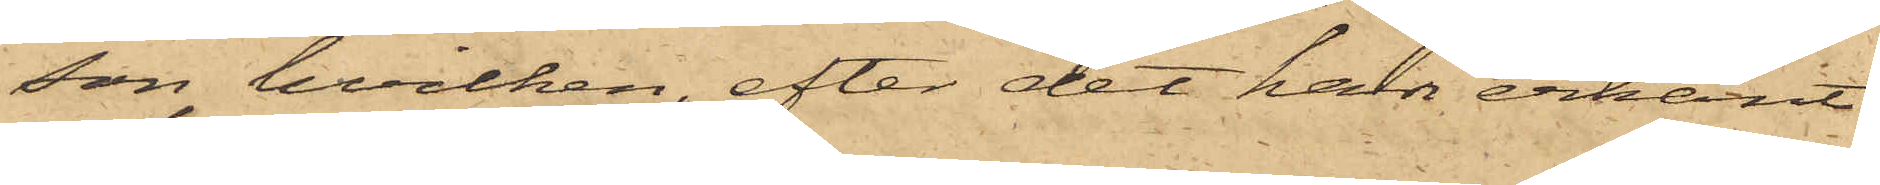son, hvilken, efter det han erkänt
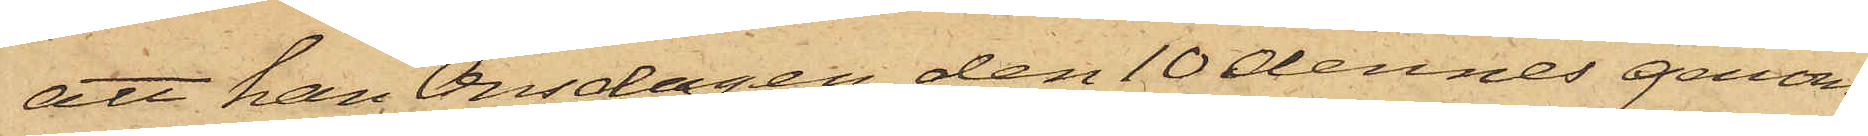att han Onsdagen den 10 dennes genom
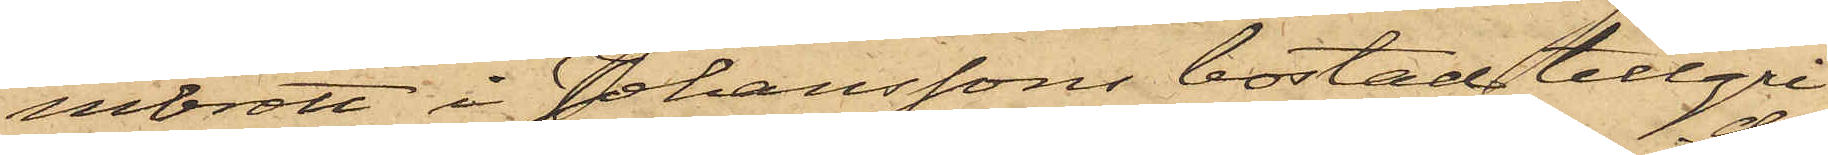inbrott i Johanssons bostad tillgri¬
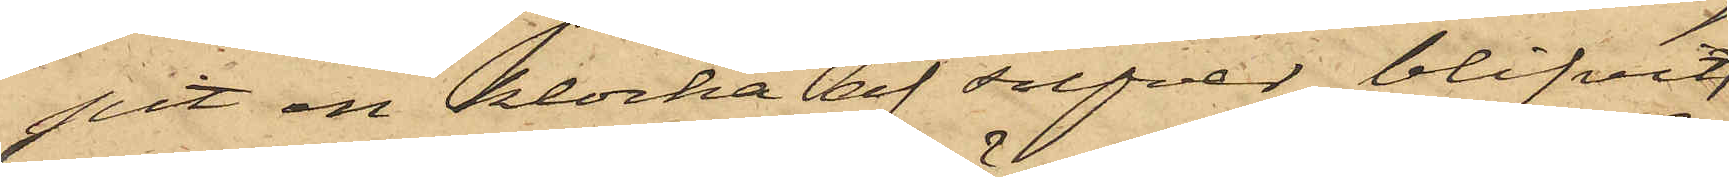pit en klocka af silfver, blifvit
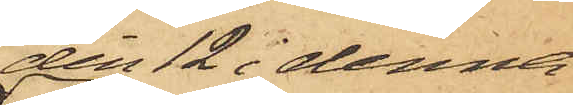den 12 i denna
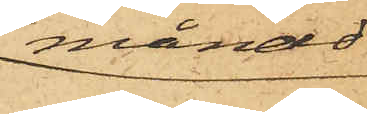månad
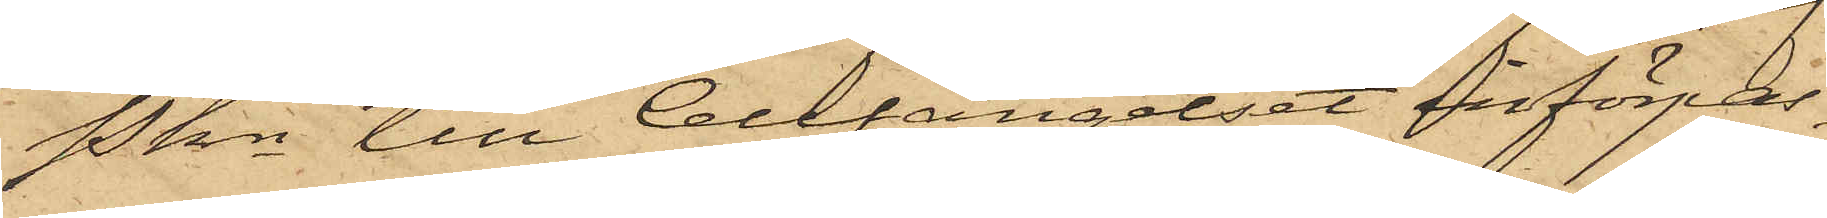Pkn till Cellfängelset införpas¬
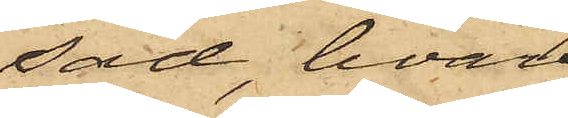sad, hvar¬
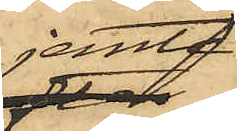jemte
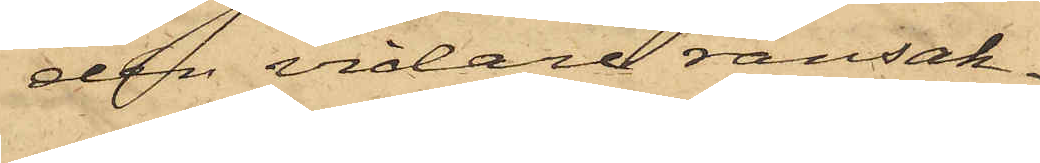den vidare ransak¬
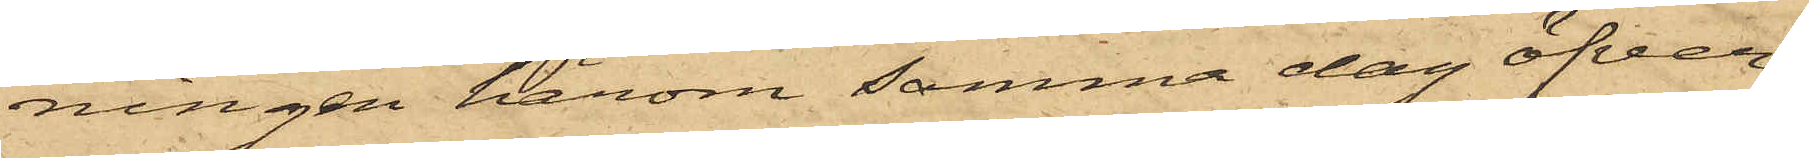ningen härom samma dag öfver¬
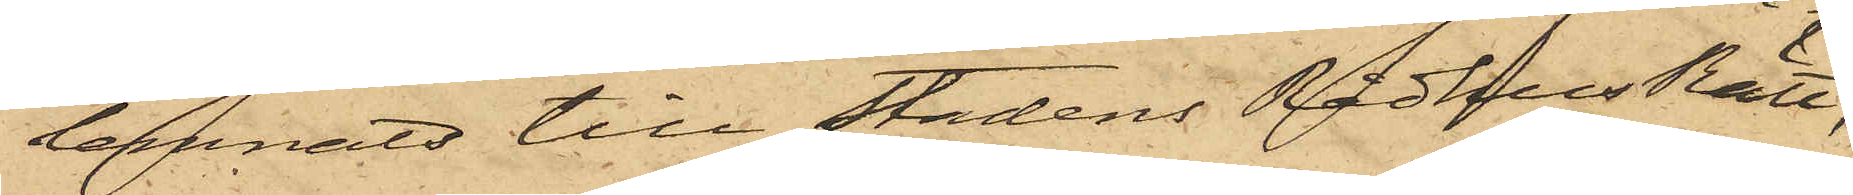lemnats till Stadens Rådhus Rätt,
